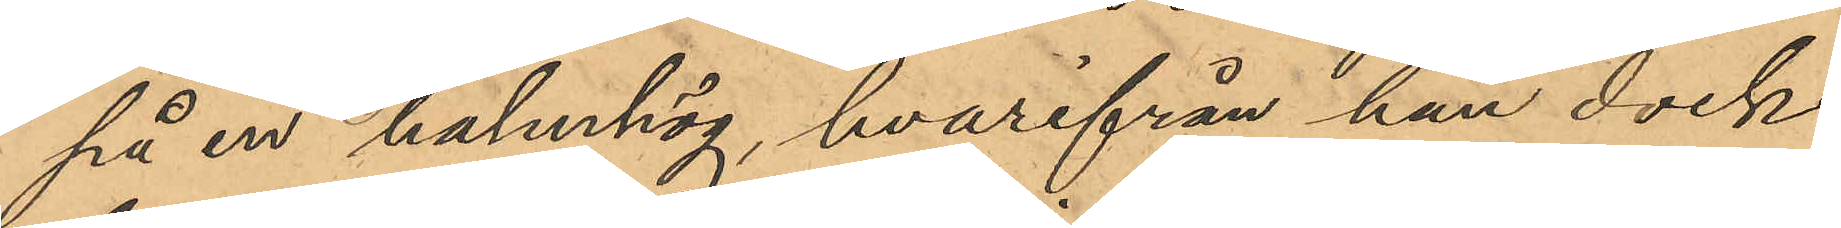på en halmhög, hvarifrån han dock
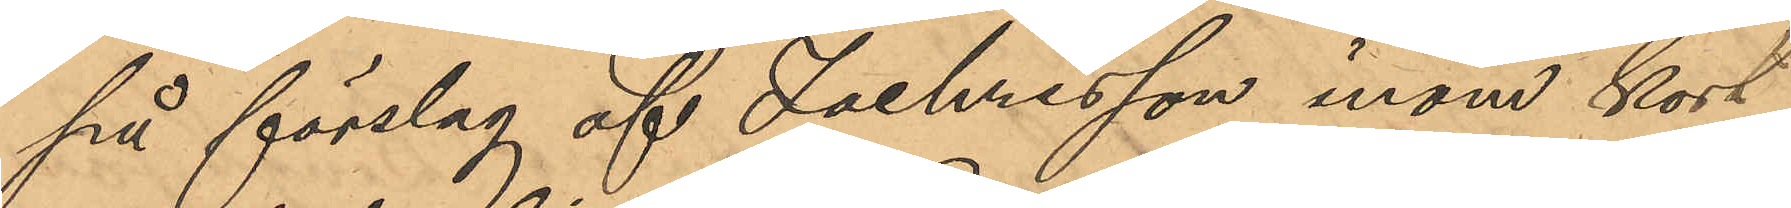på förslag af Zachrisson inom kort
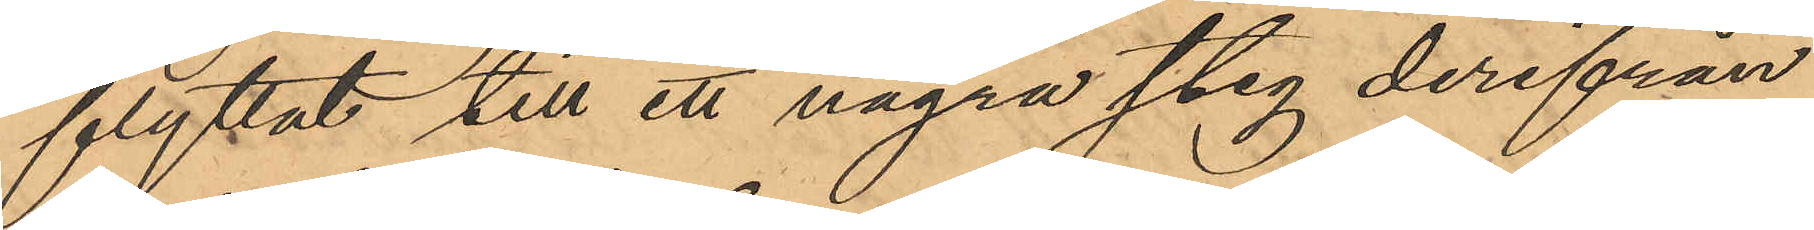flyttat till ett några steg derifrån
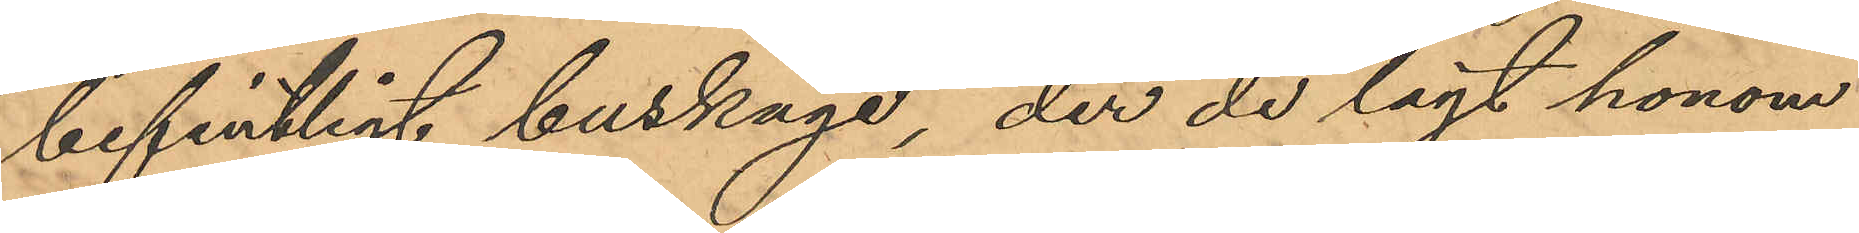befintligt buskage, der de lagt honom
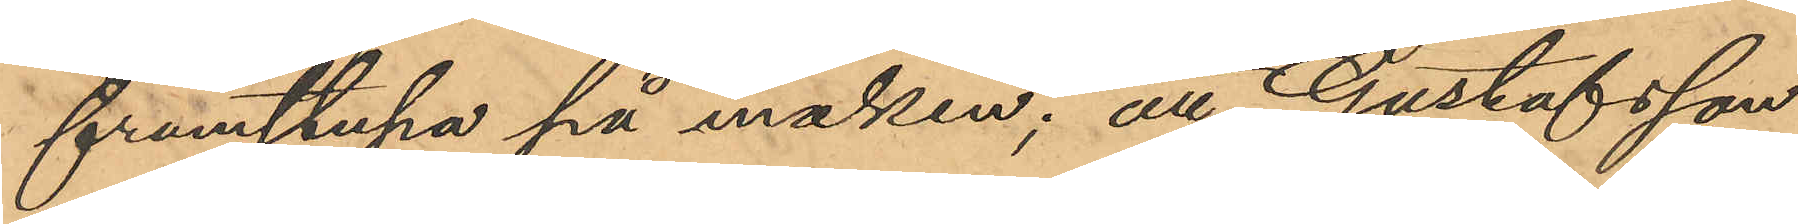framstupa på marken; att Gustafsson
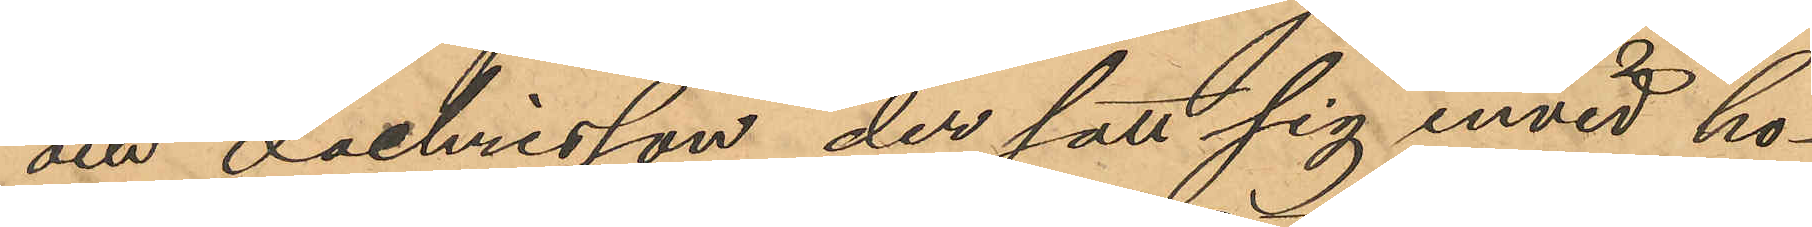och Zachrisson der satt sig invid ho¬
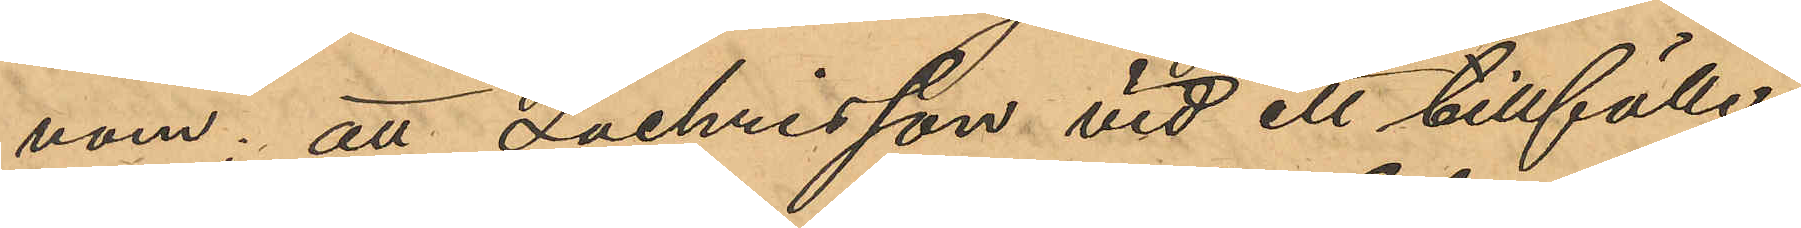nom; att Zachrisson vid ett tillfälle
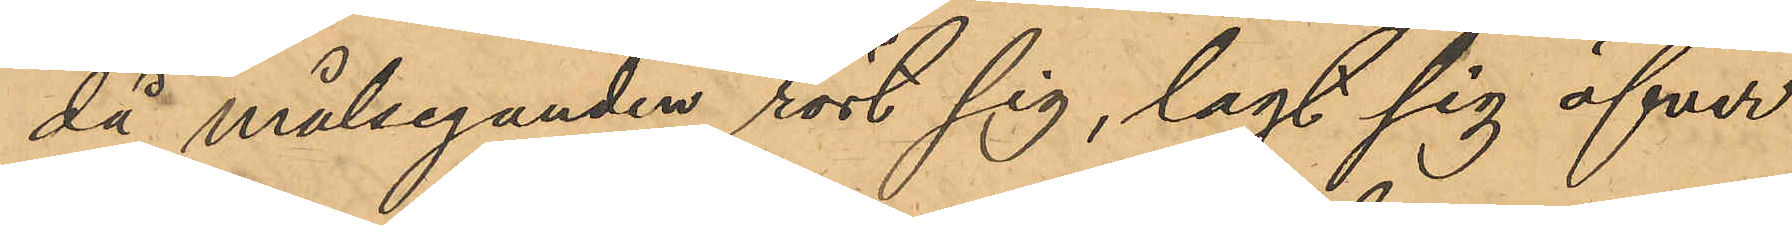då målseganden rört sig, lagt sig öfver
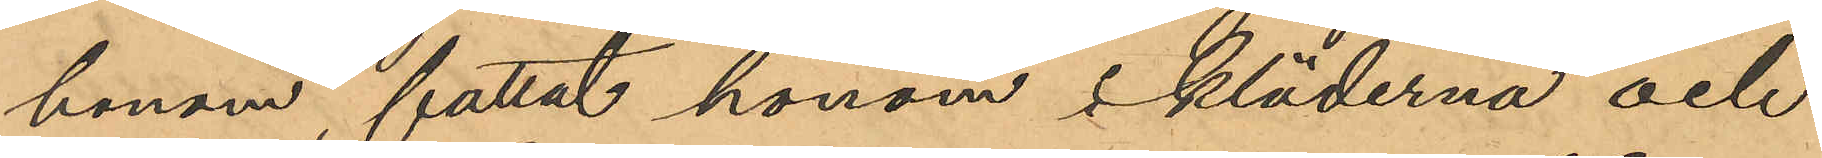honom, fattat honom i kläderna och
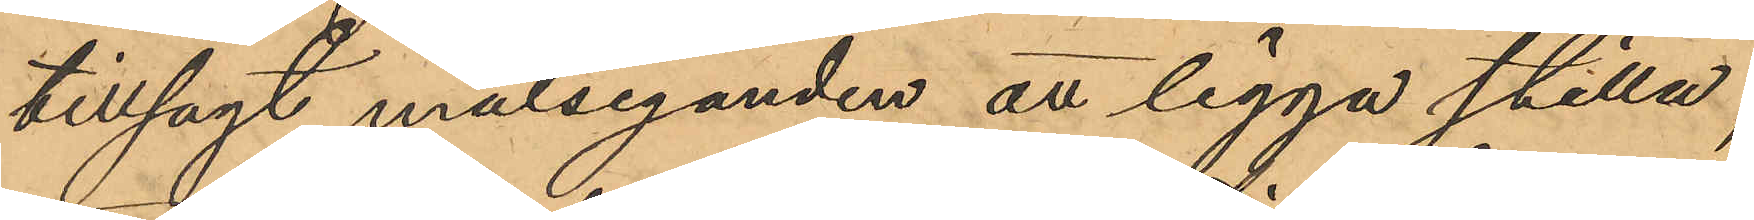tillsagt målseganden att ligga stilla;
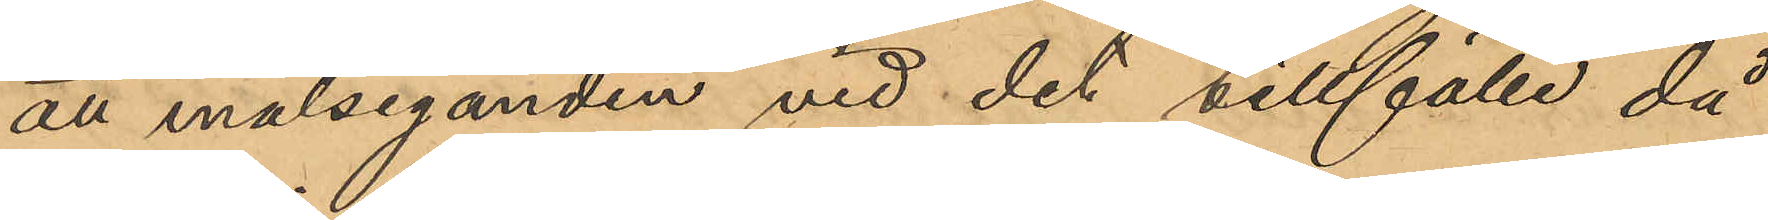att målseganden vid det tillfälle då
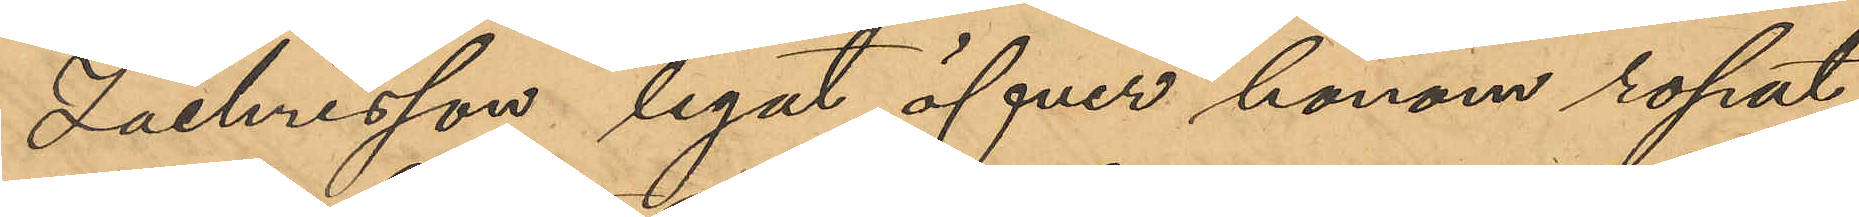Zachrisson legat öfver honom ropat
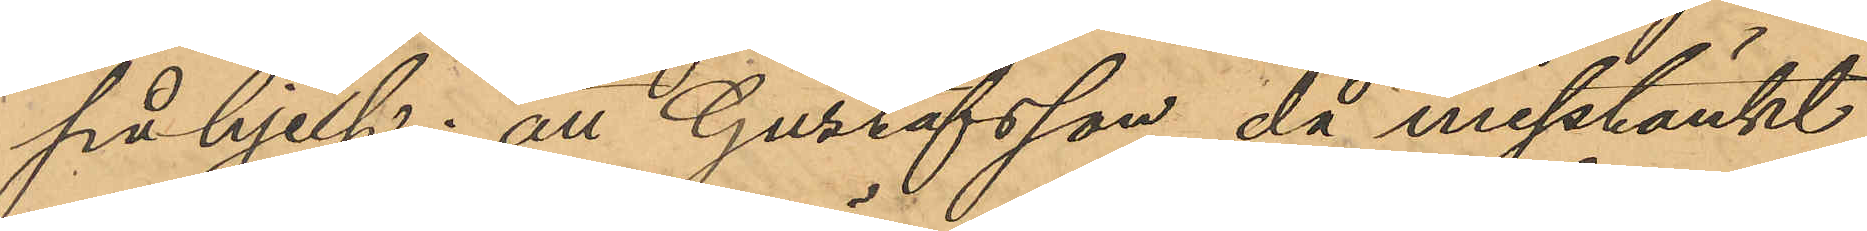på hjelp; att Gustafsson då misstänkt
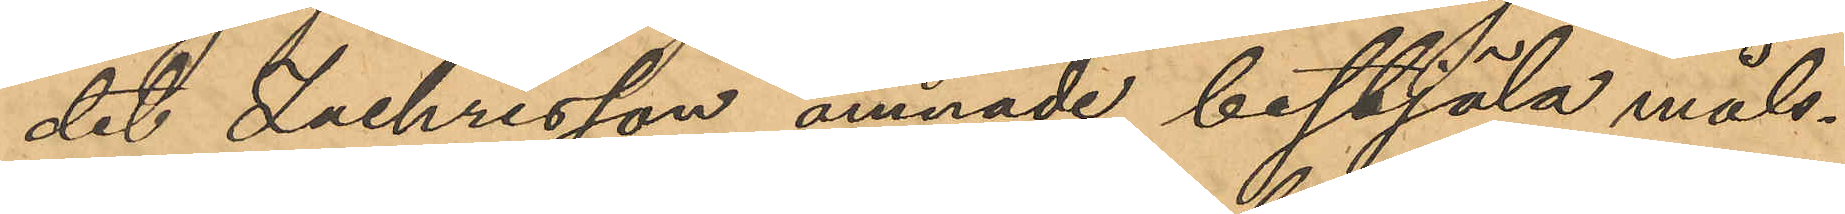det Zachrisson ämnade bestjäla måls¬
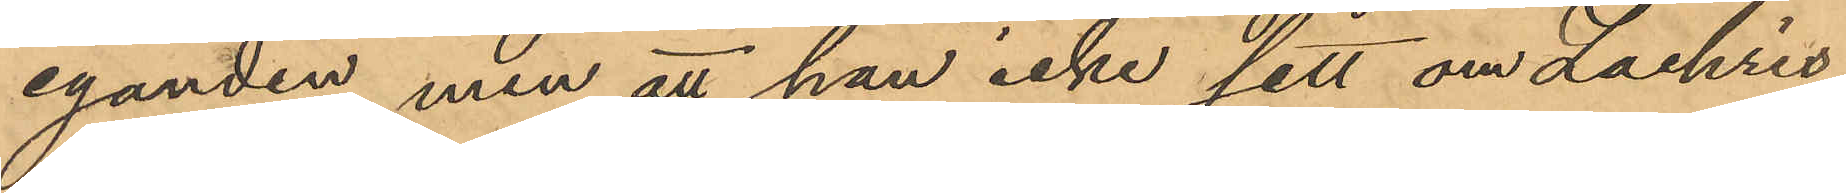eganden, men att han icke sett om Zachris¬
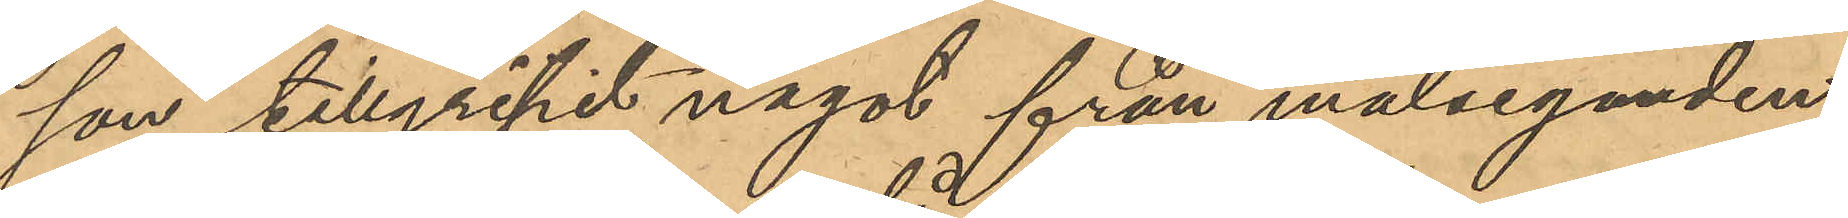son tillgripit något från målseganden;
